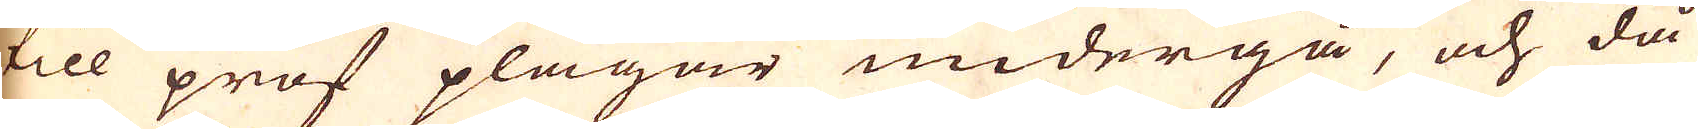till prof plägar undergå, och då
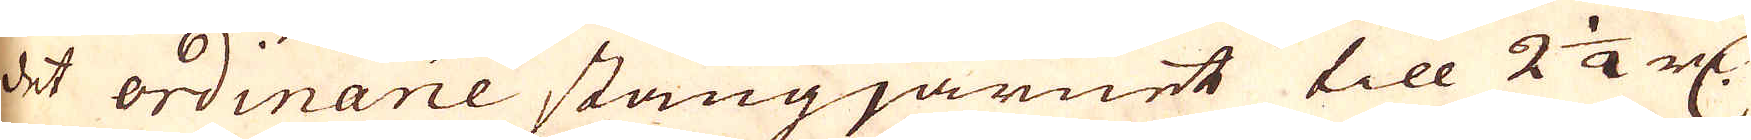det ordinarie stångjärnet till 2 1/2 r:dr
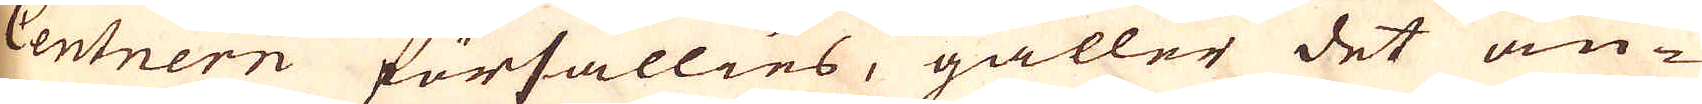Centnern försällies, gäller det an-
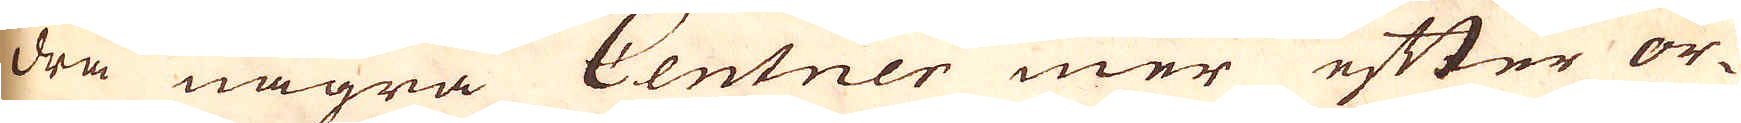dra några Centner mer efter or-
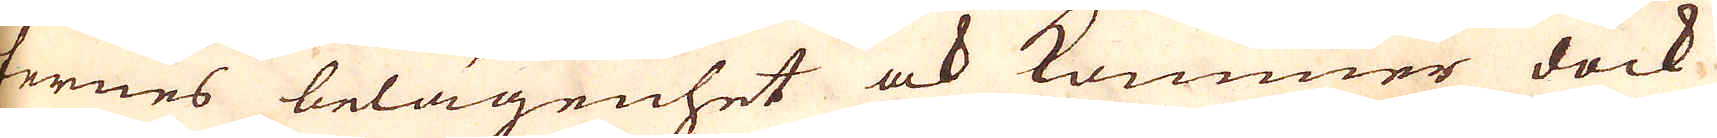ternes belägenhet och kommer dock
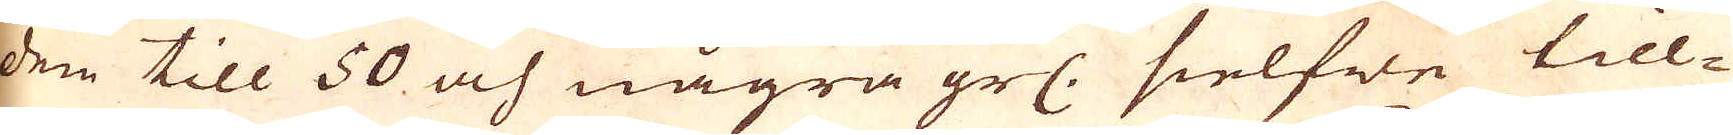den till 50 och några grs: sielfwe till-
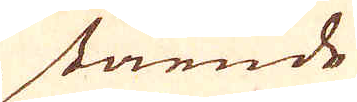stående
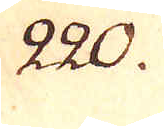220.
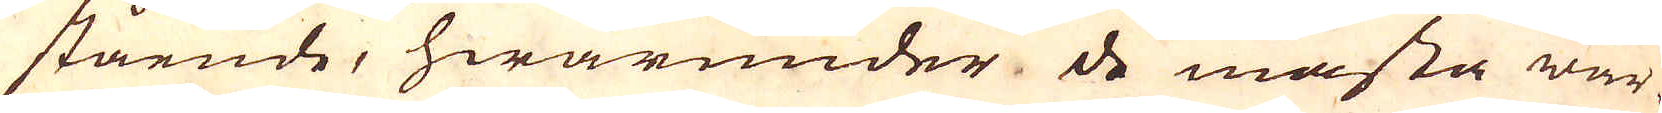stående, hwarunder de mästa wär-
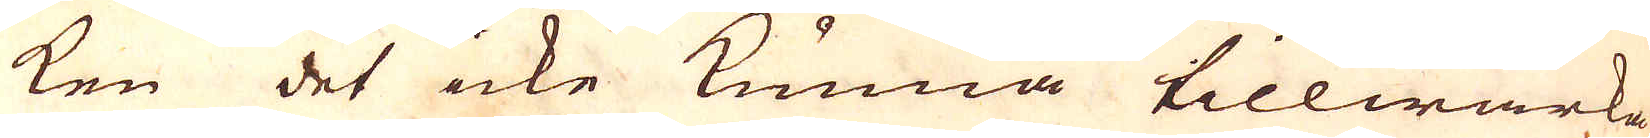ken det icke kunna tillwärka
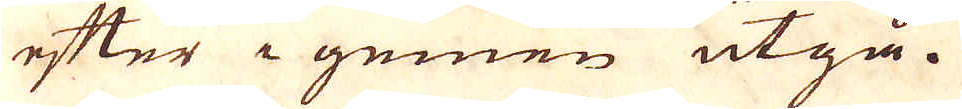efter i gemen utgå.
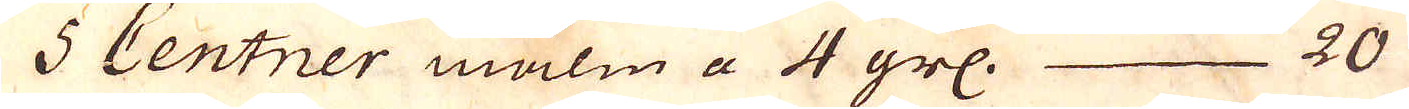5 Centner malm a 4 grs. 20
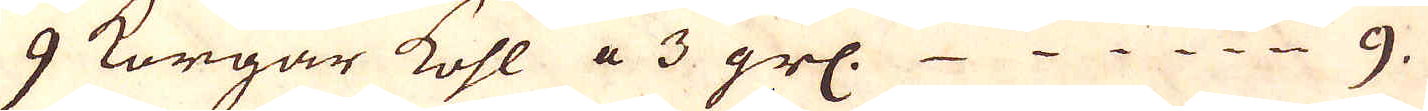9 Korgar kohl a 3 grs. 9.
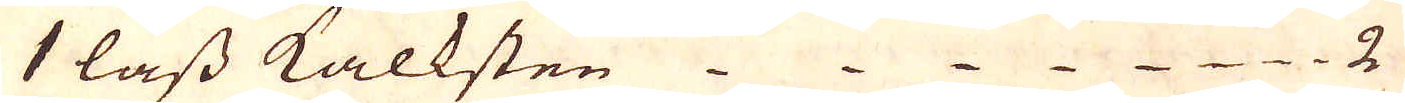1 lass kalksten 2
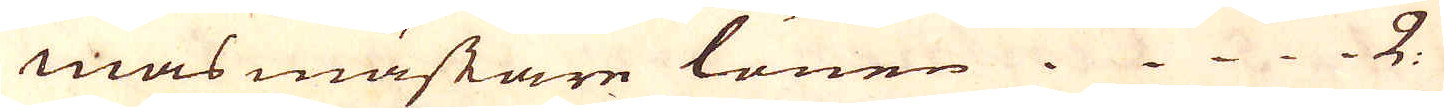masmästare lönen 2.
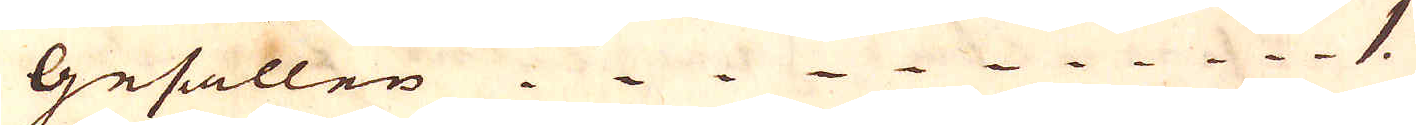Gesällen. 1
